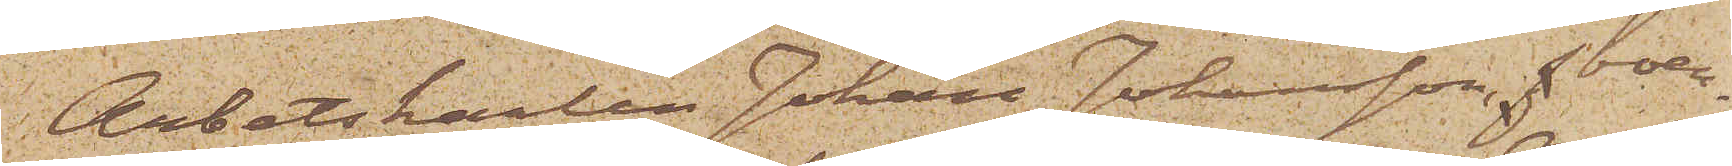Arbetskarlen Johan Johansson, boen¬
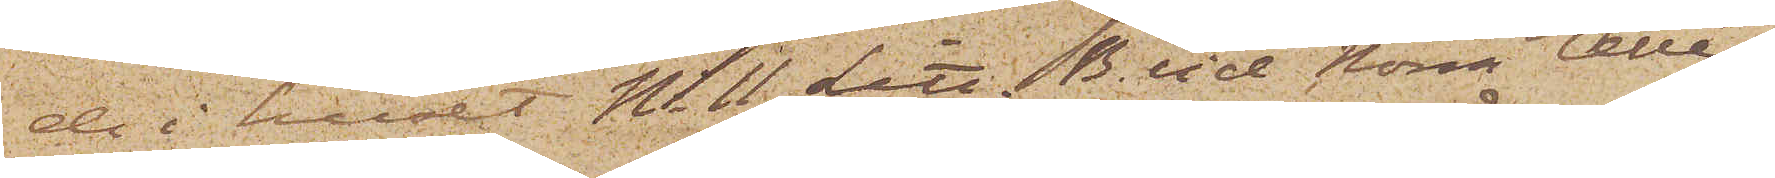de i huset No 11 Litt. B. vid Norra Allée¬
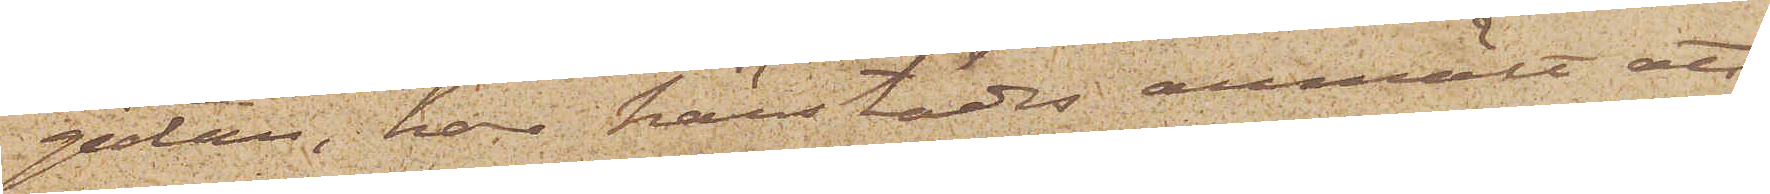gatan, har härstädes anmält att
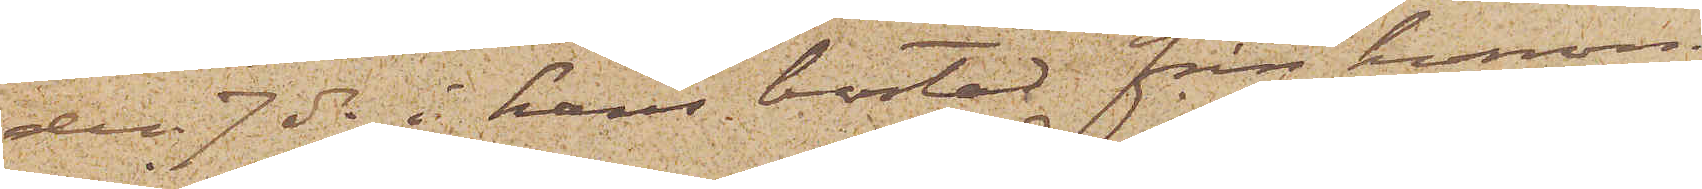den 7 ds i hans bostad från honom
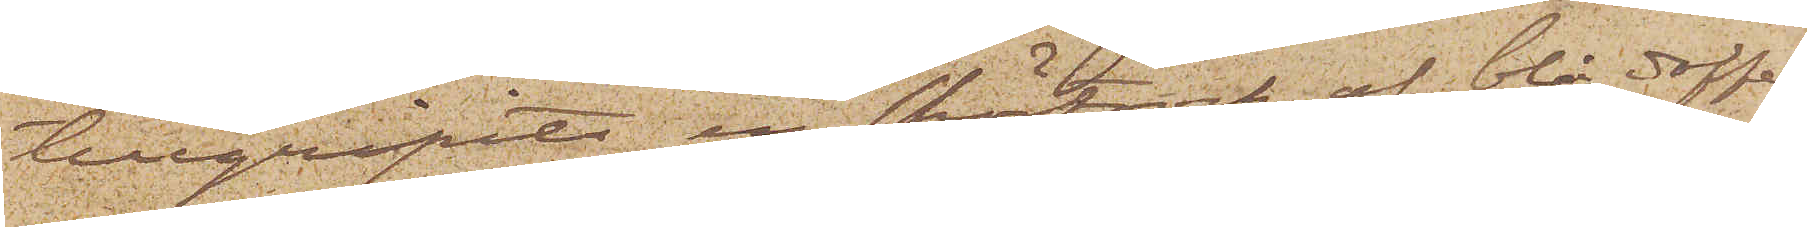tillgripits en skörtrock af blå doffel
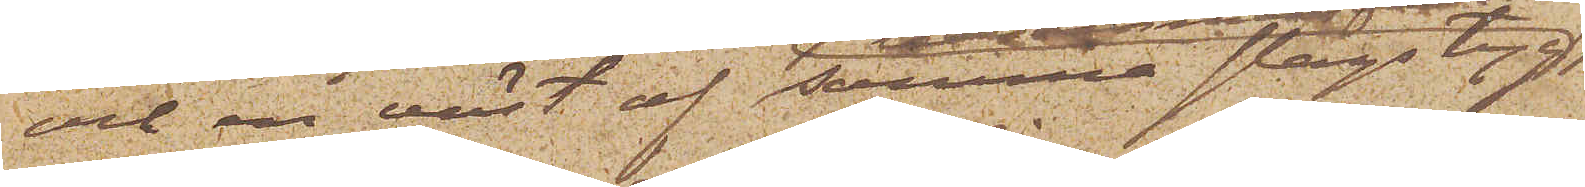och en väst af samma slags tyg
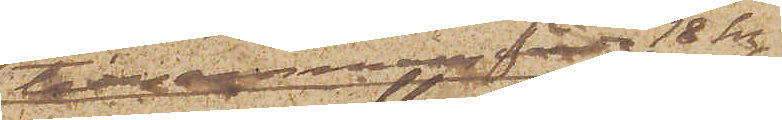tillsammans värda 18 kr;
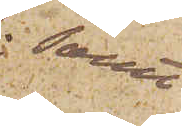samt
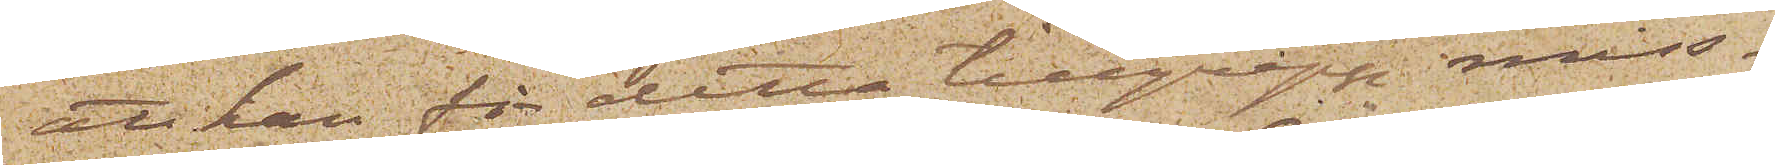att han för detta tillgrepp miss¬
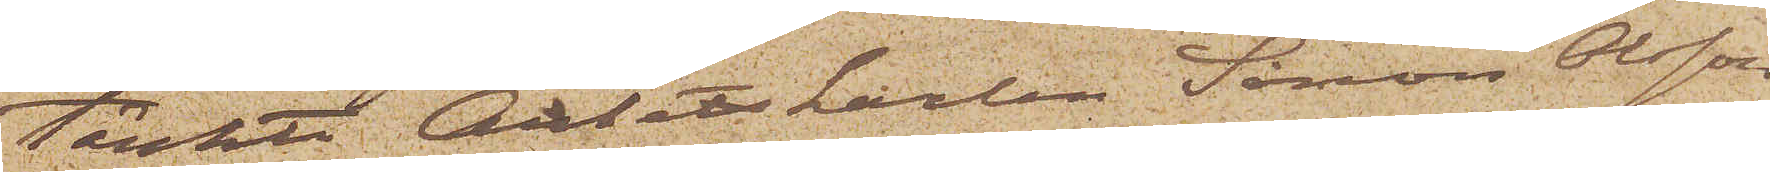tänkte Arbetskarlen Simon Olsson
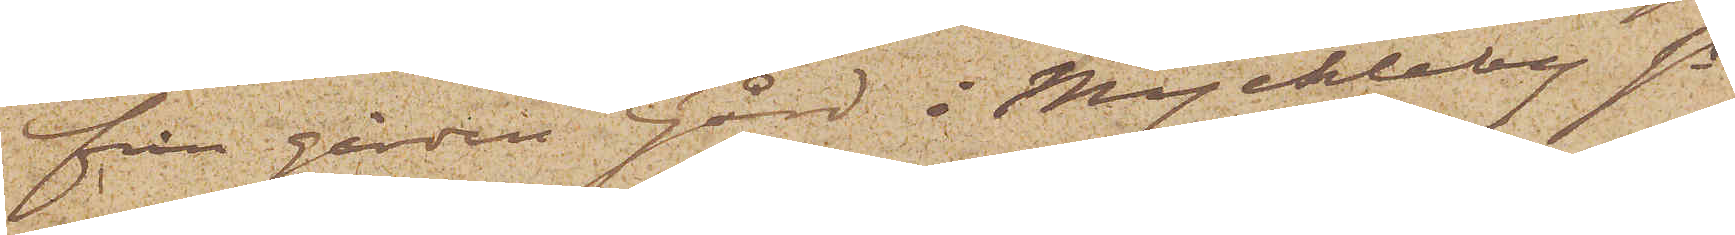från gården Gård i Myckleby Sn
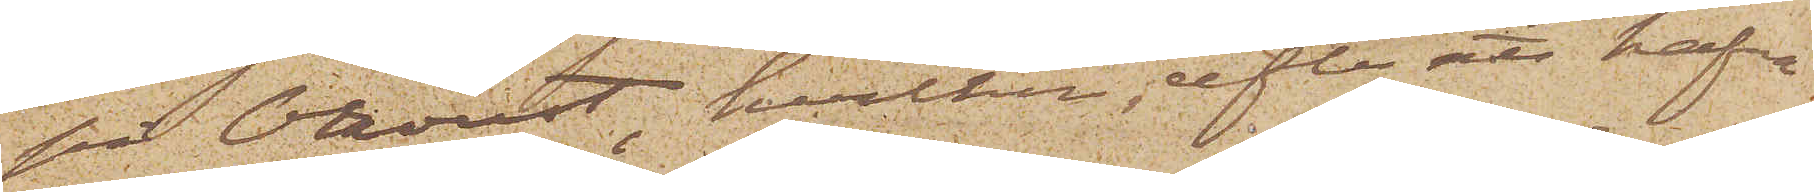på Oroust, hvilken, efter att hafva
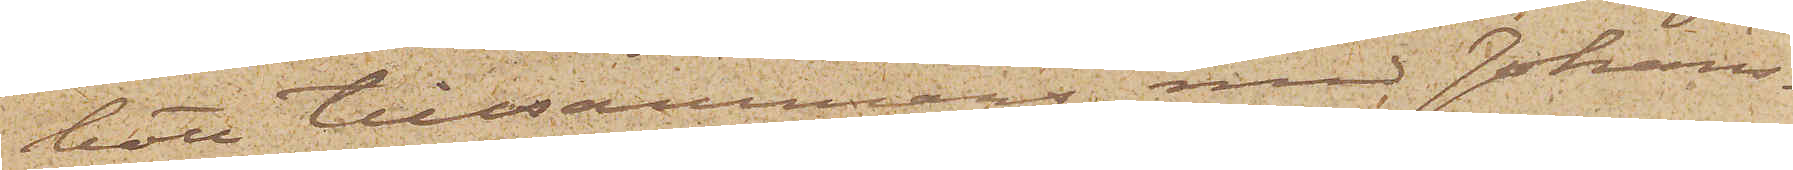bott tillsammans med Johans¬
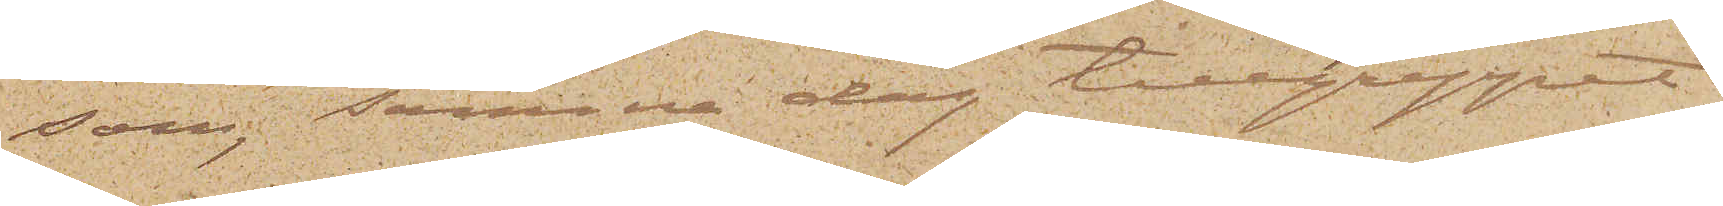son; samma dag tillgreppet
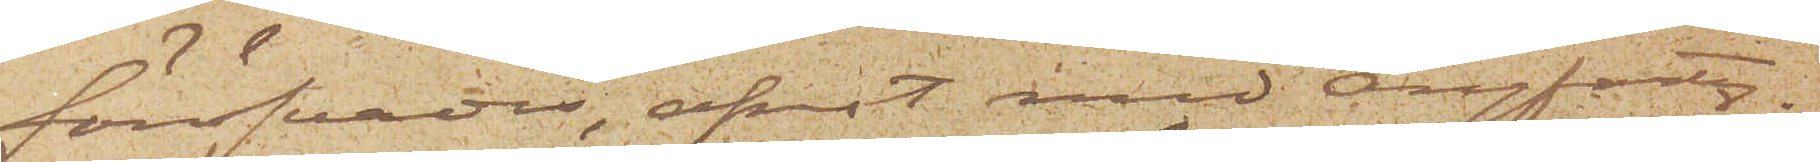föröfvades, afrest med ångfarty¬
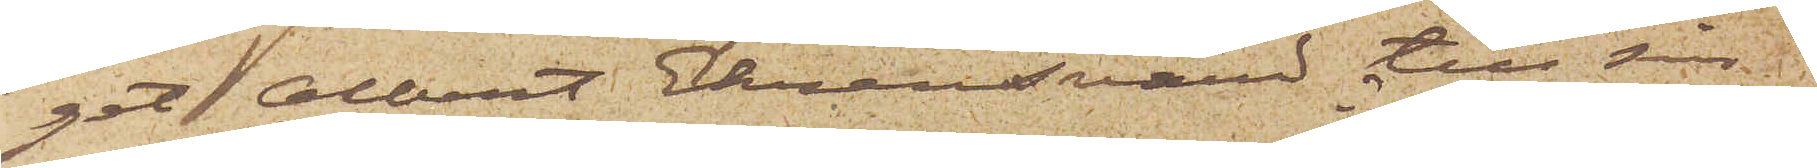get Albert Ehrensvärd till sin
